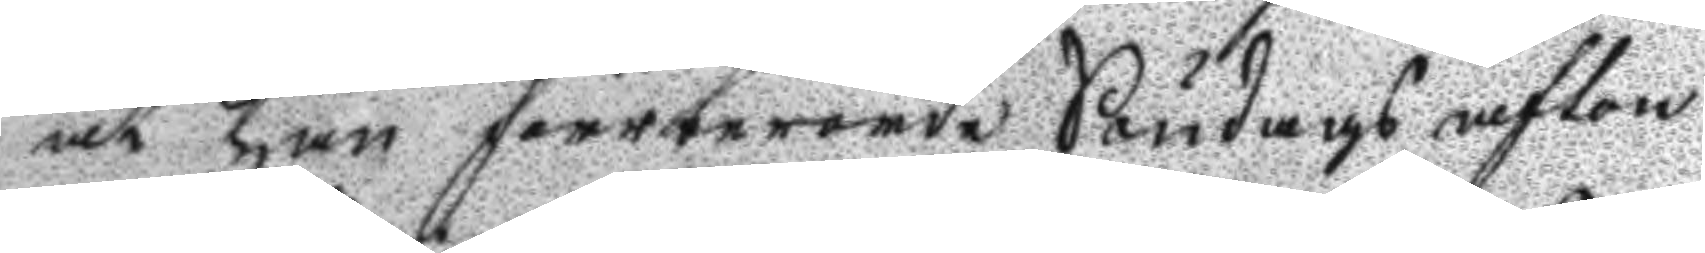och han förrberörde Söndags afton
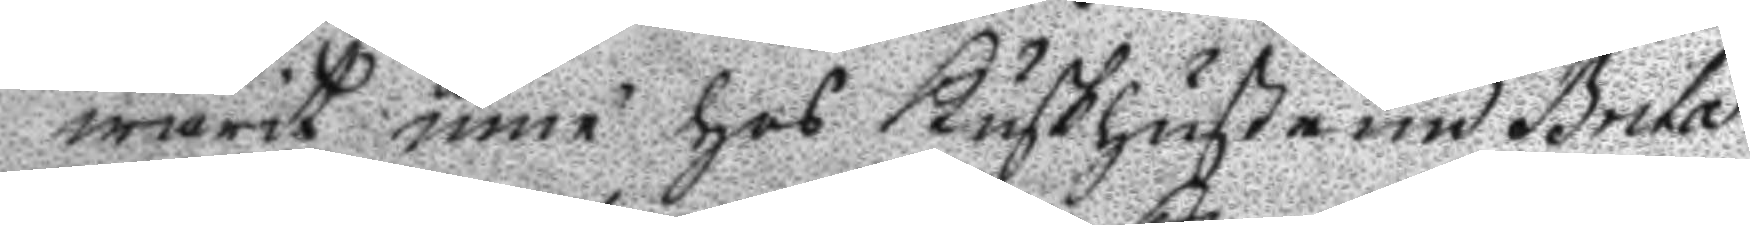warit inne hos Kuskhustrun Brita
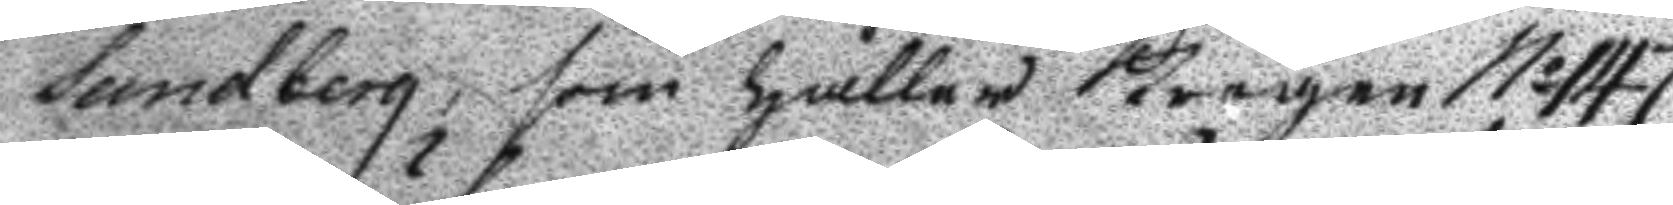Sundberg, som håller Krogen N: 147
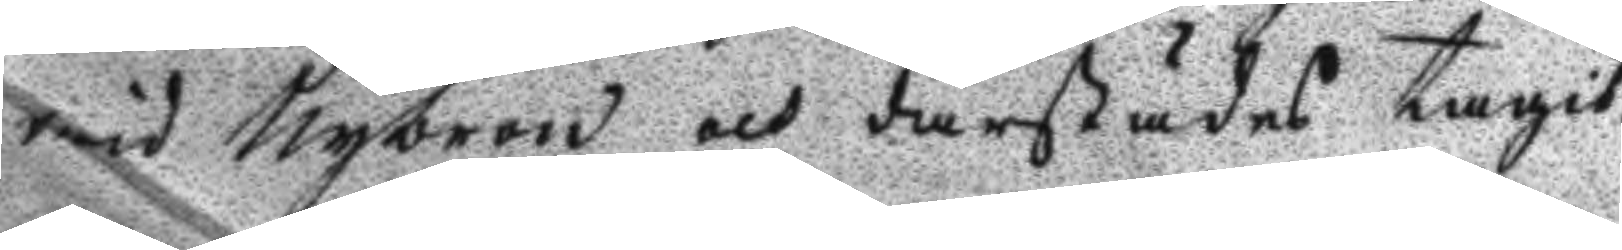wid Nybron och därstädes tagit
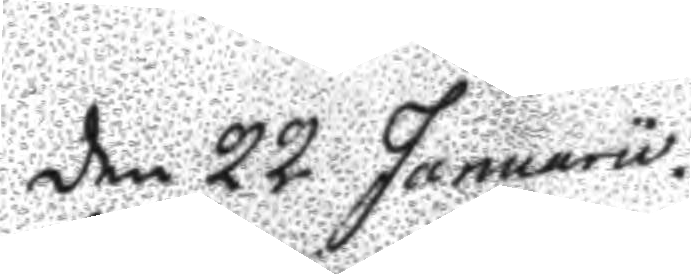den 22 Januarii
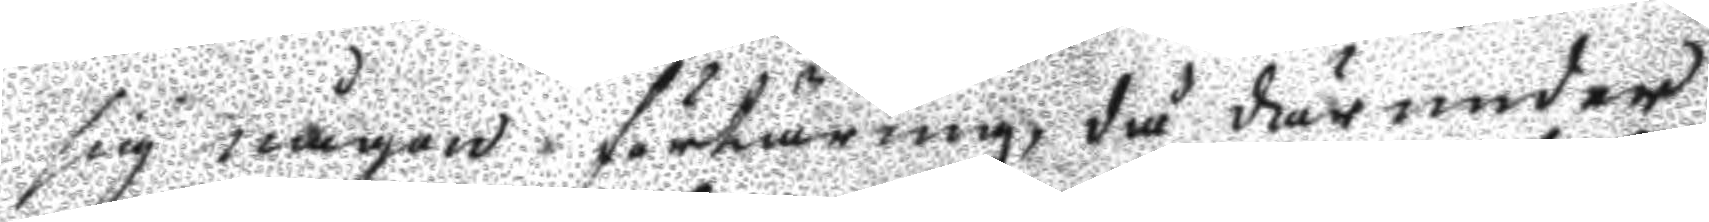sig någon förtäring, då därunder
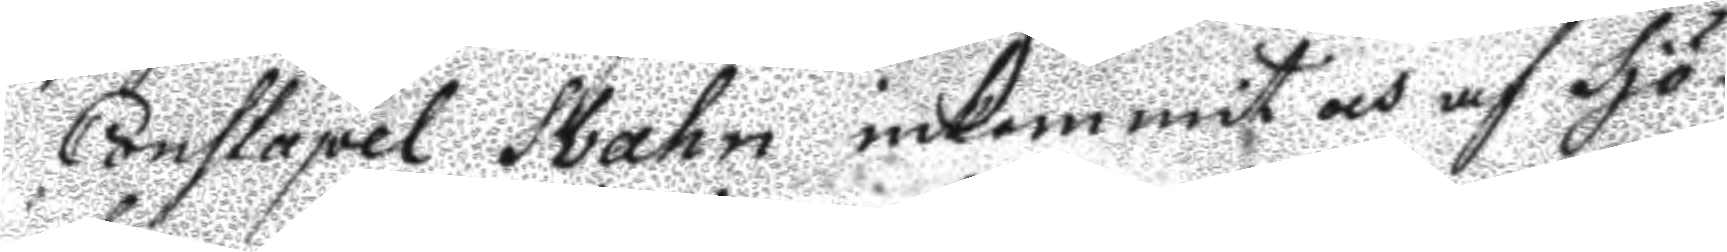Constapel Svahn inkommit och af Sjö¬
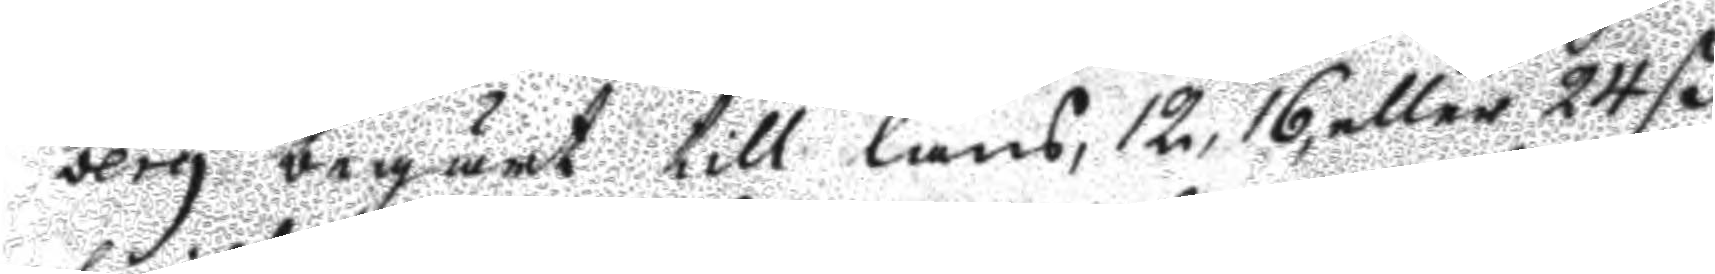berg begärt till låns, 12, 16, eller 24 ß
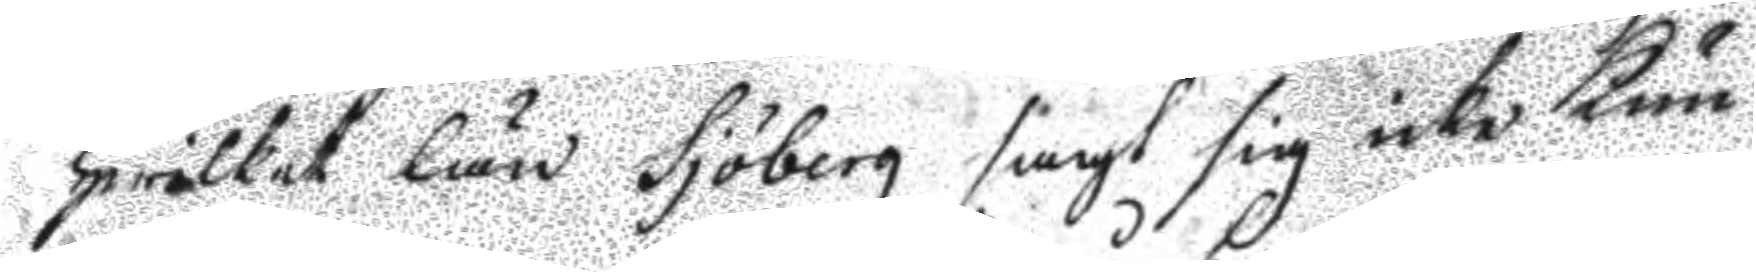hwilket lån Sjöberg sagt sig icke kun¬
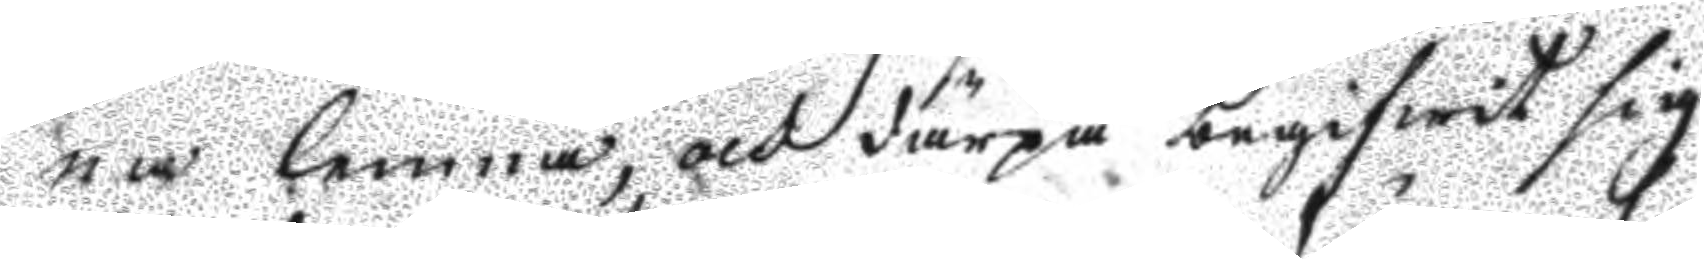na lemna, och därpå begifwit sig
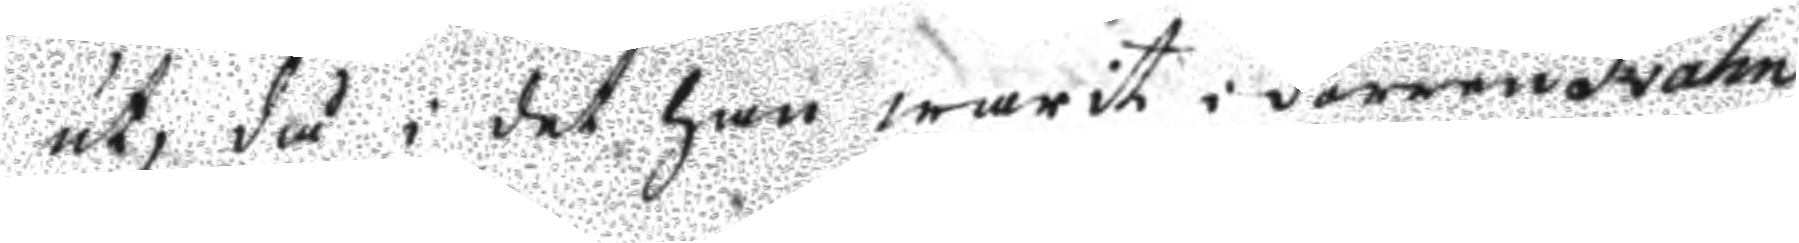ut, då i det han warit i dörren Svahn
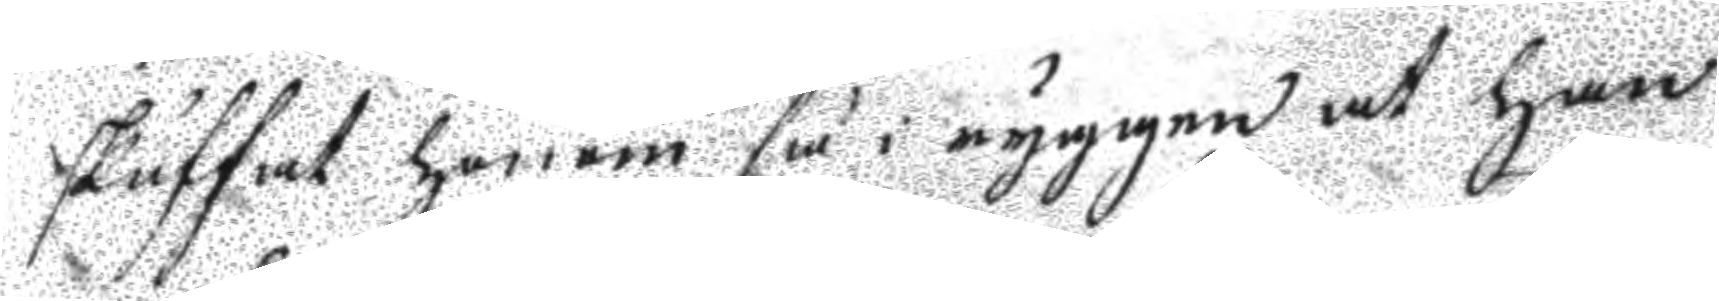skuffat honom så i ryggan at han
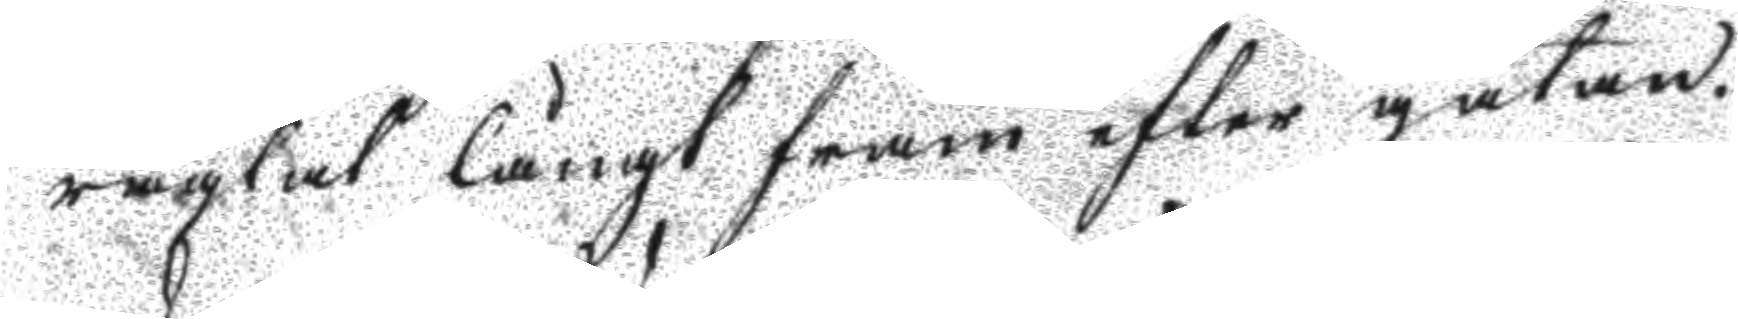raglat långt fram efter gatan.
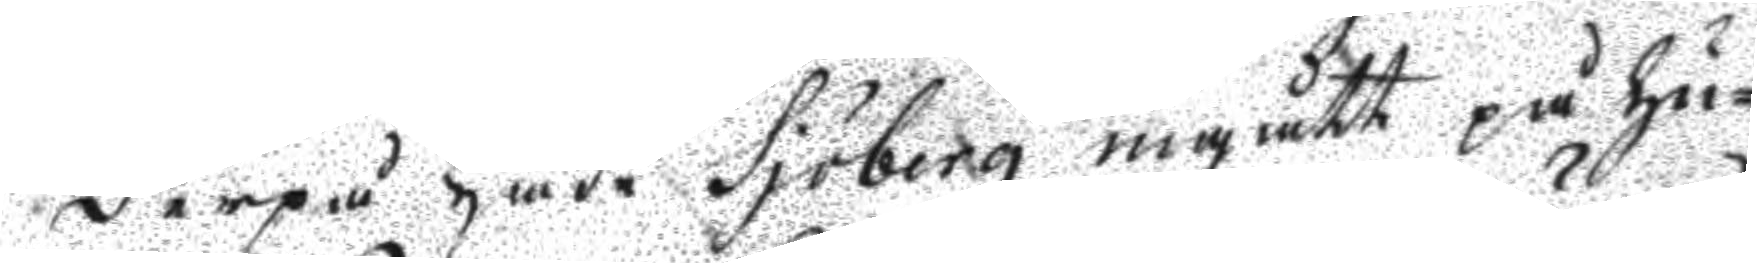Derpå hae Sjöberg ingått på hu¬
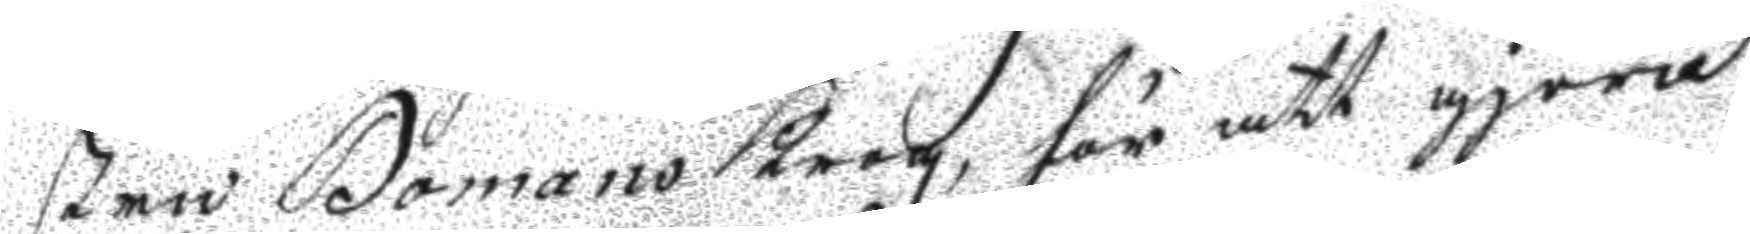stru Bomans Krog, för att giöra
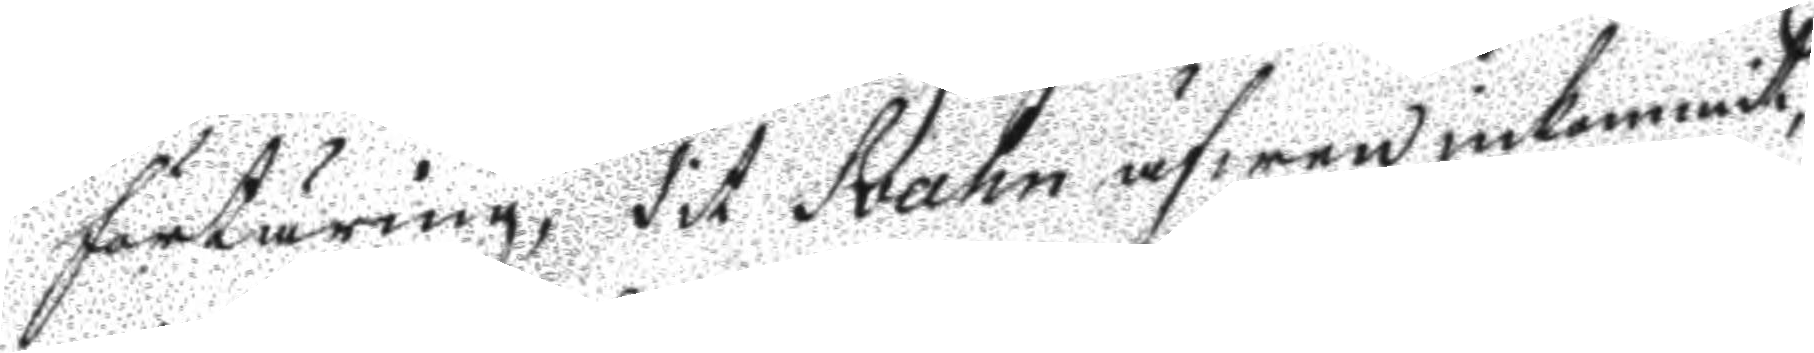förtäring, dit Svahn äfwen inkommit
